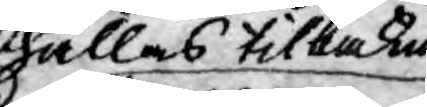hållas tilbaka
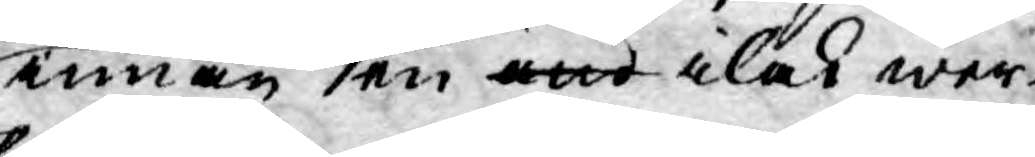innan en ond ilak wer¬
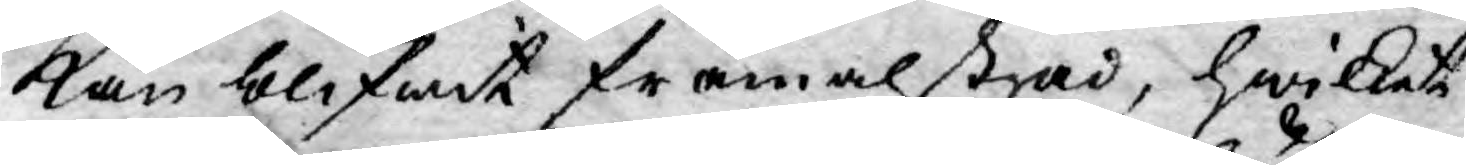kan blifwit framalstrad, hwilket
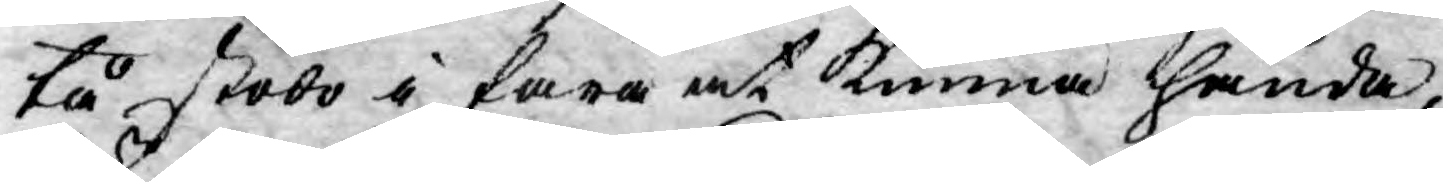tå stodo i fara at kunna hända,
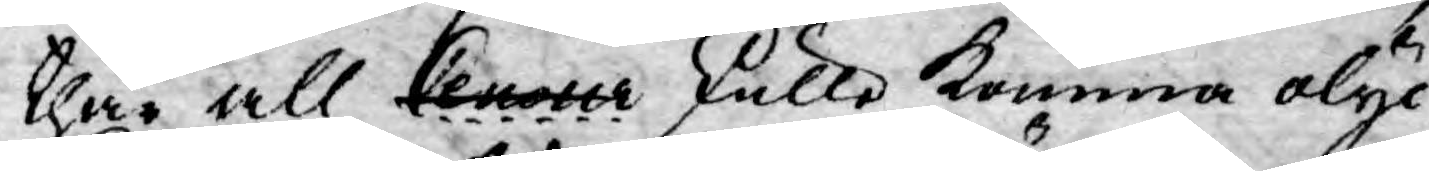thär all Censur skulle komma olyc¬
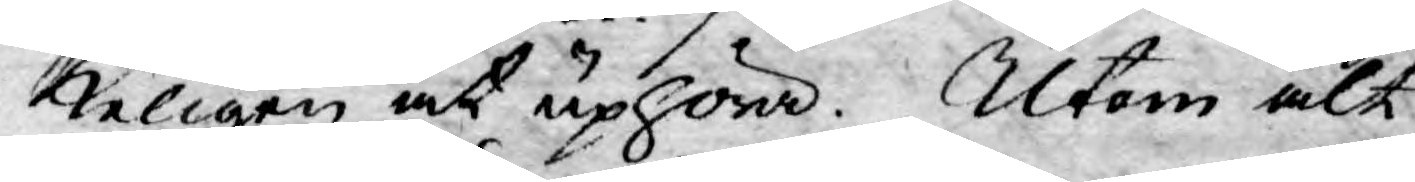keligen at uphöra. Utom alt
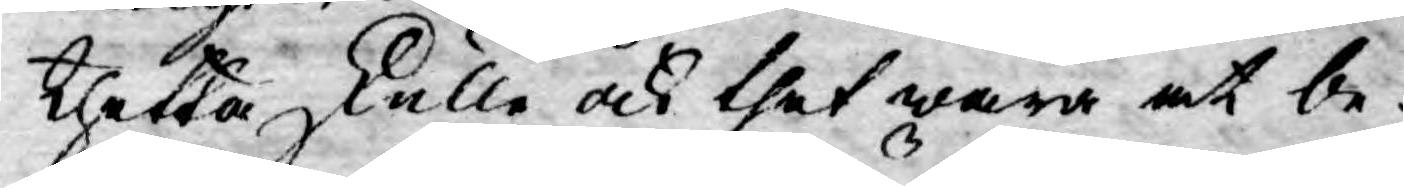thetta skulle ock thet wara at be¬
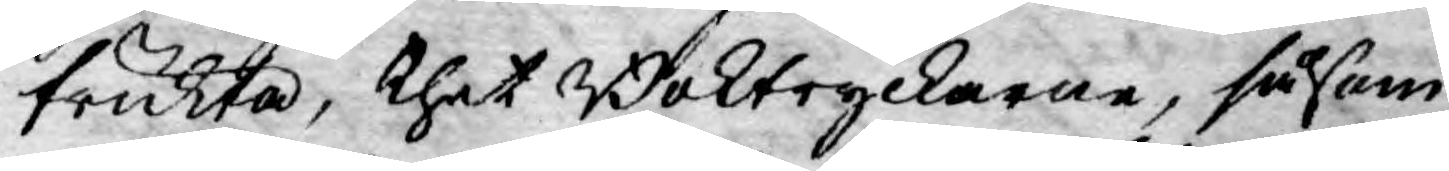frukta, thet Boktryckarne, såsom
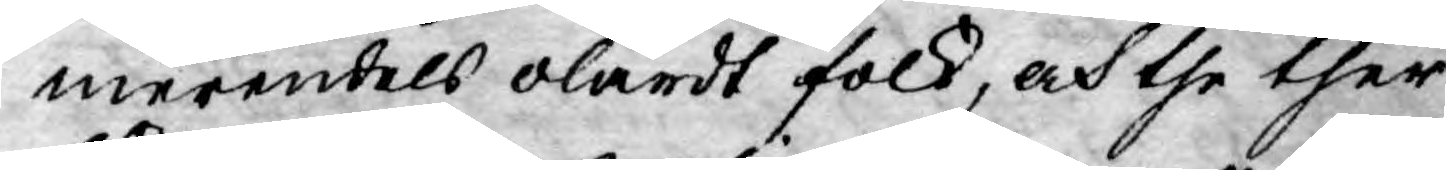merendels olärdt folk, och the ther
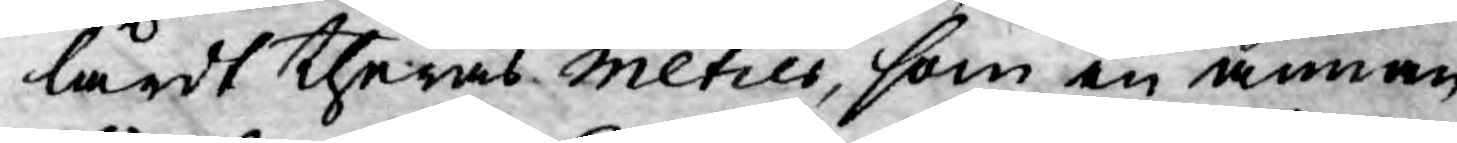lärdt theras metics, som en annan
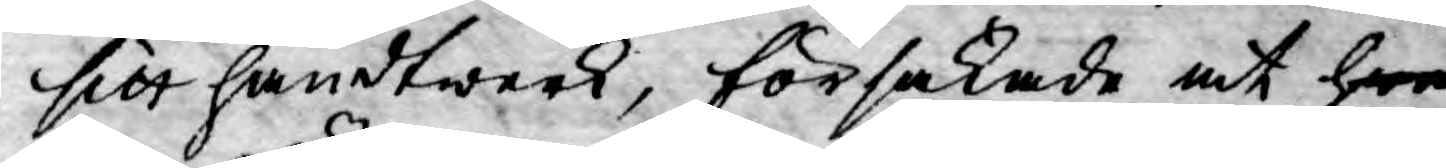sitt handtwerk, försakade at hwe
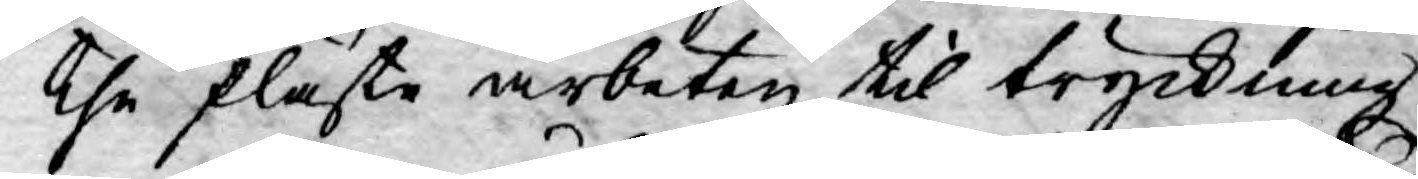the fläste arbeten til tryckning
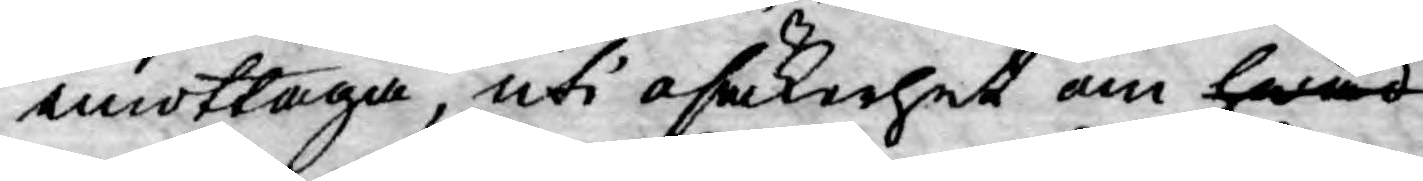emottaga, uti osäkerhet om hwad
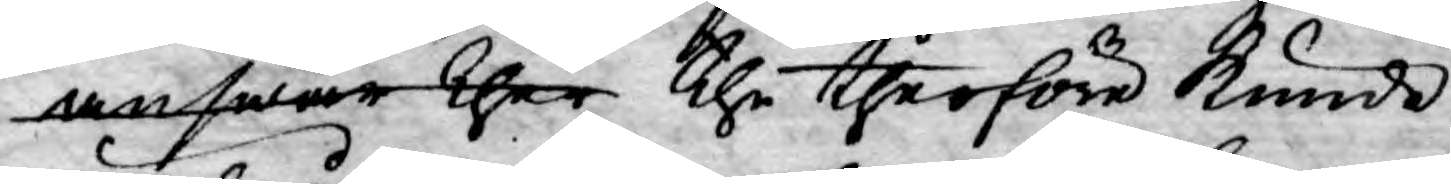answar ther the therföre kunde
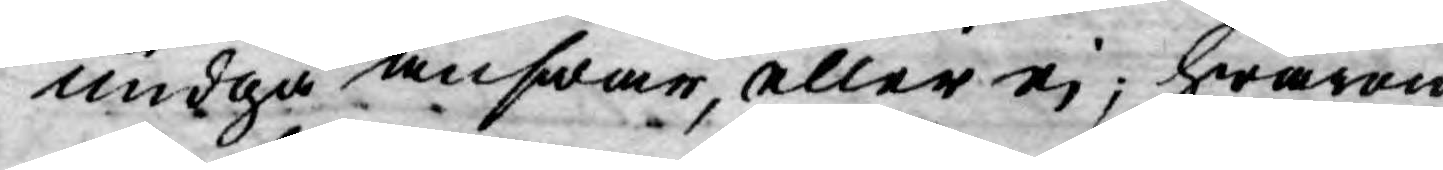undgå answar, eller ej; hwarom
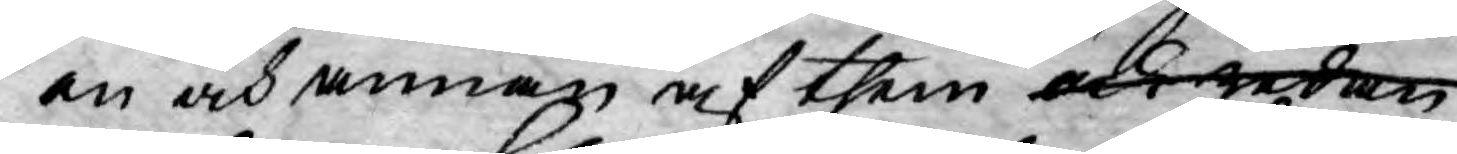än och annan af them och redan
